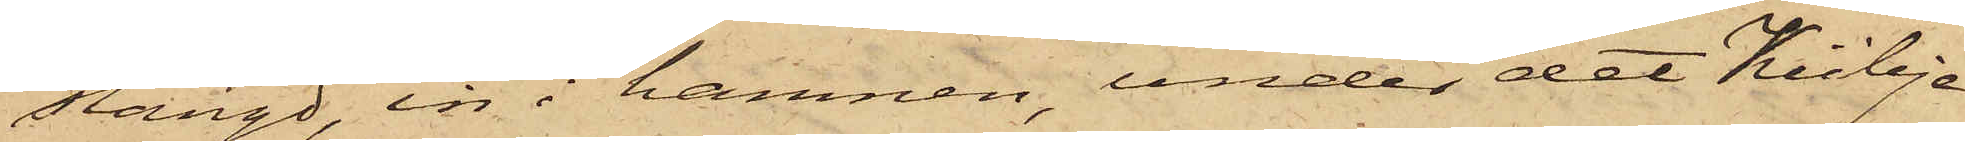stängd, in i hamnen, under det Kübje
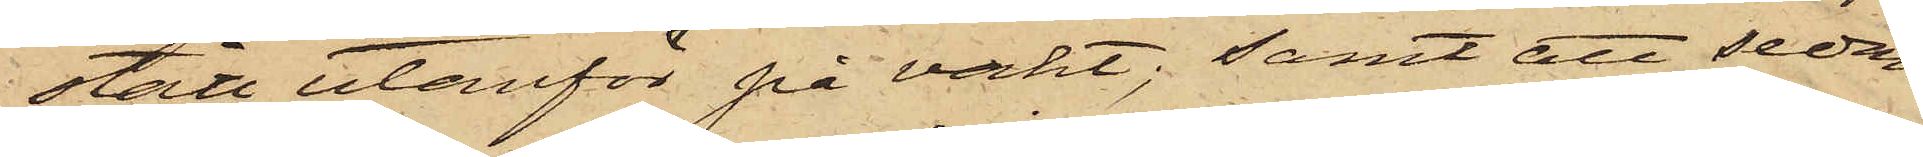stått utanför på vakt; samt att sedan
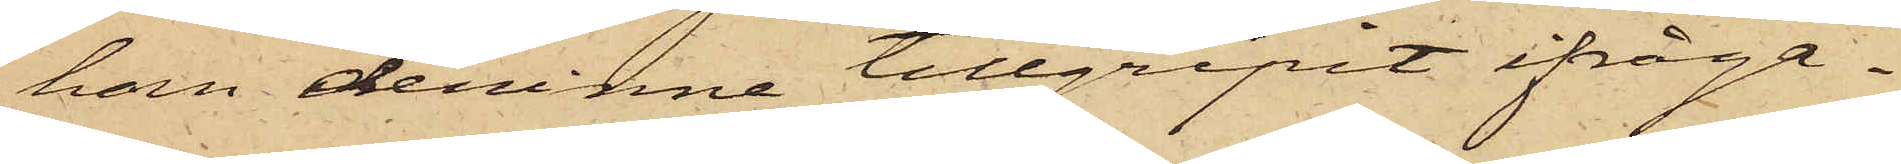han derinne tillgripit ifråga¬
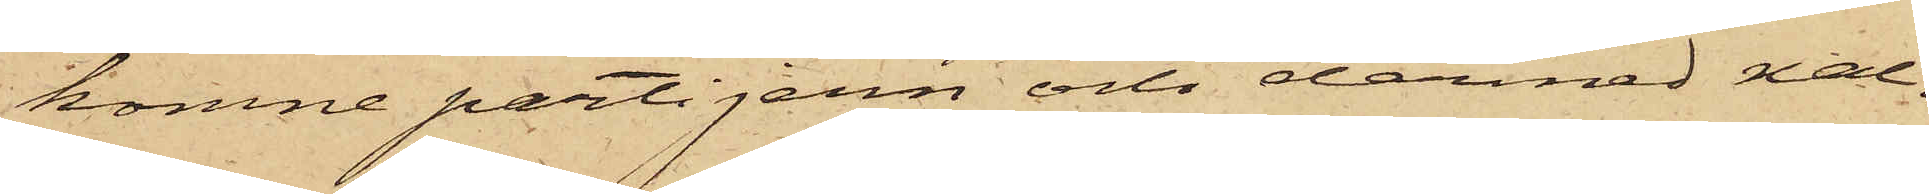komne parti jern och dermed nal¬
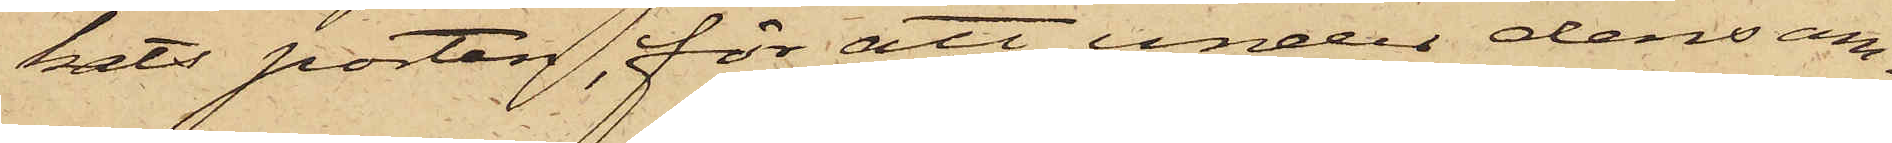kats porten, för att under densam¬
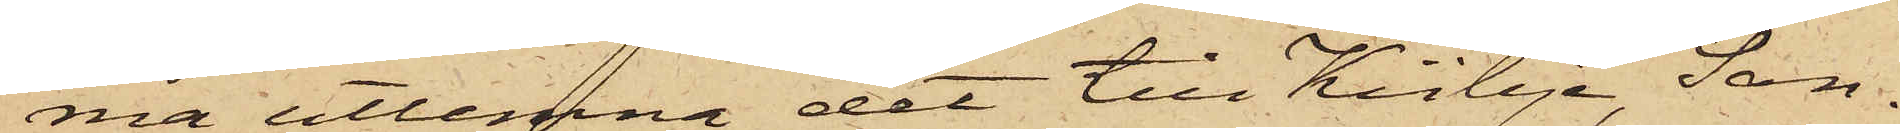ma utlemna det till Kübje, San¬
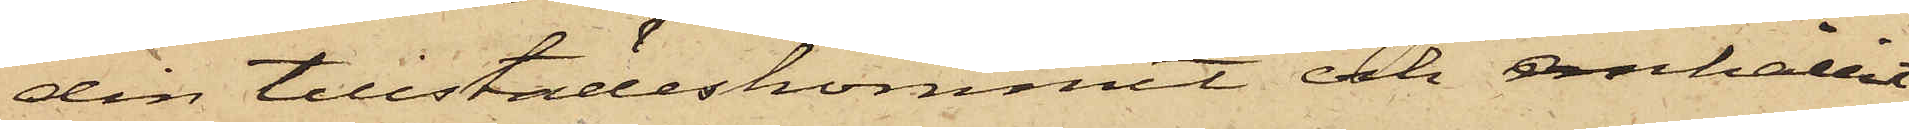din tillstädeskommit och anhållit
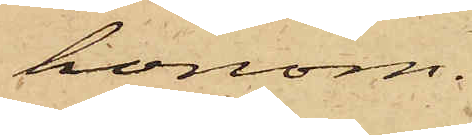honom.
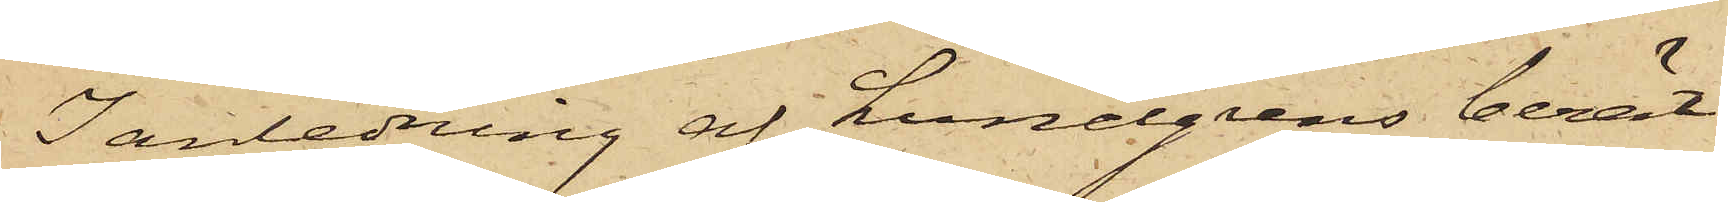I anledning af Lundgrens berät¬
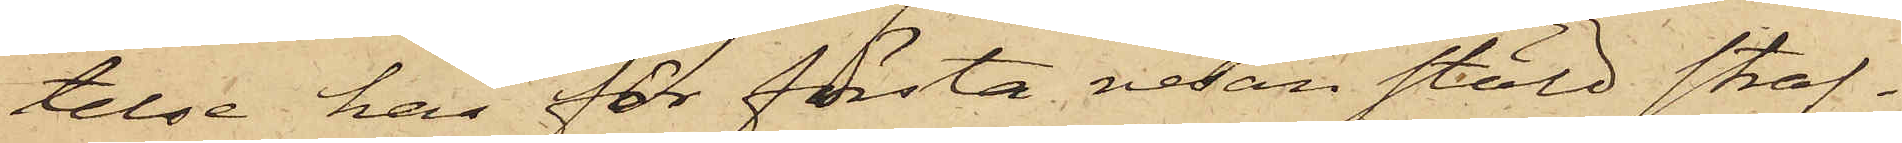telse har för första resan stöld straf¬
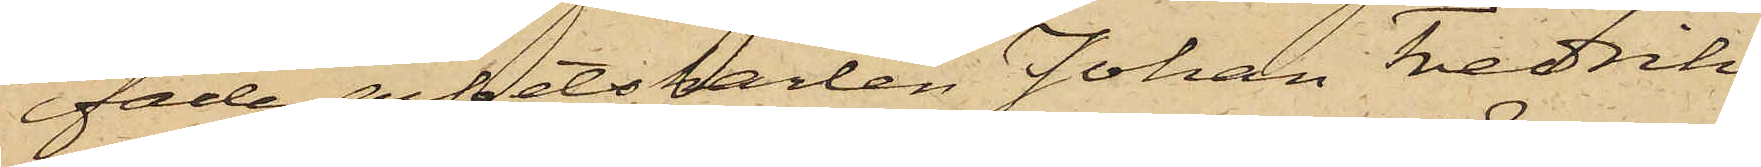fade arbetskarlen Johan Fredrik
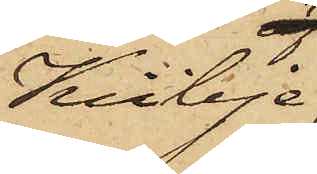Kübje,
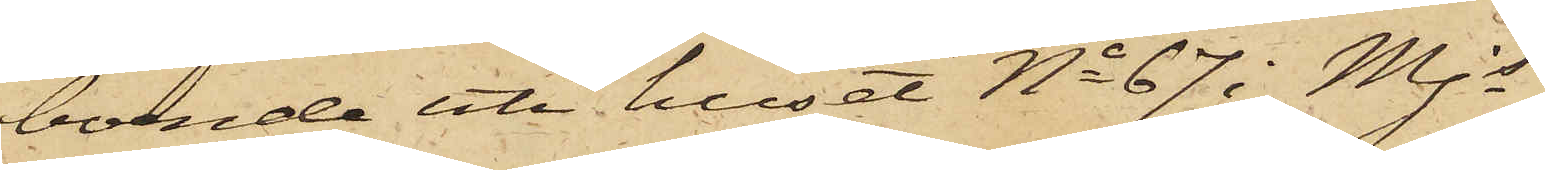boende uti huset No 67 i Mjs
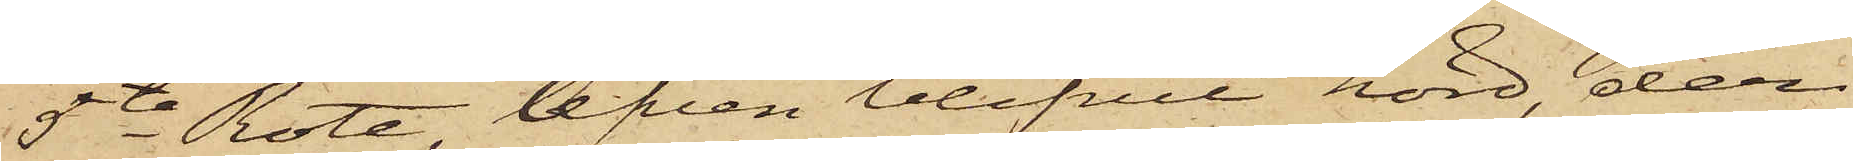5te Rote, äfven blifvit hörd, der¬
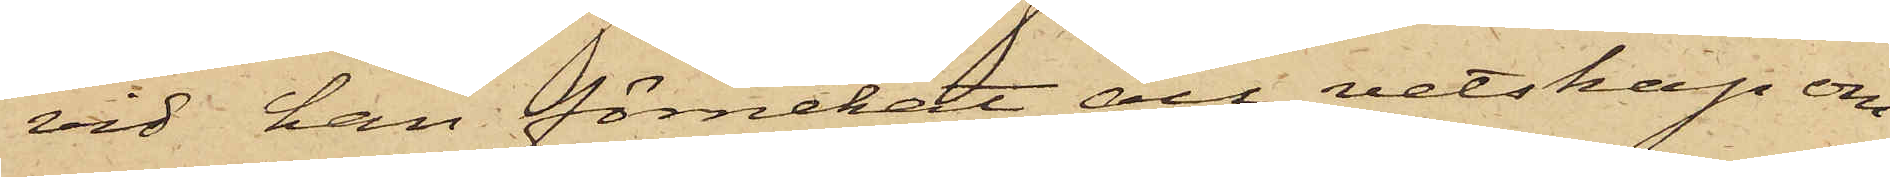vid han förnekat att vetskap om
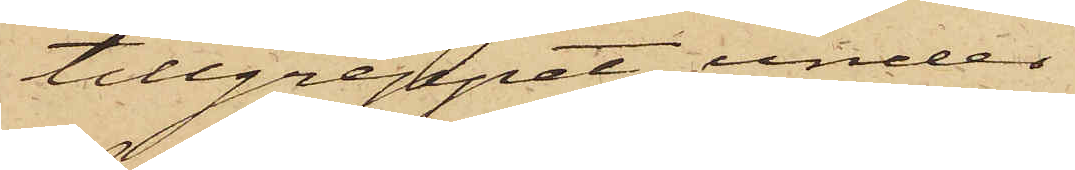tillgreppet, under
